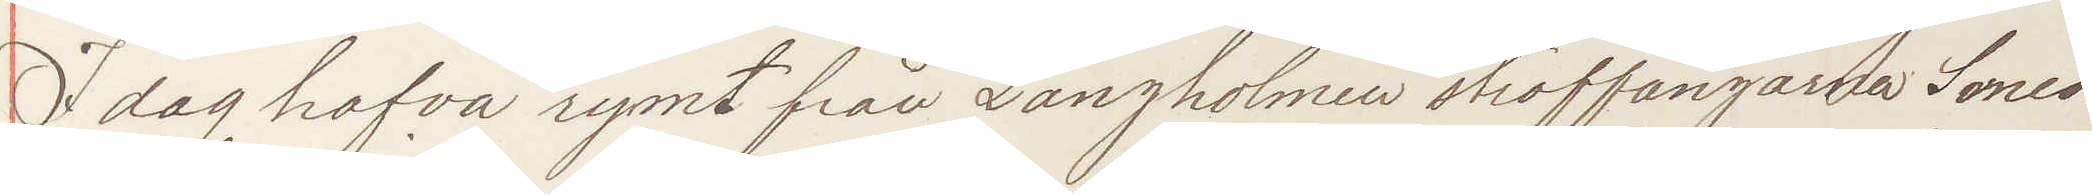I dag hafva rymt från Långholmen straffångarna Smed¬
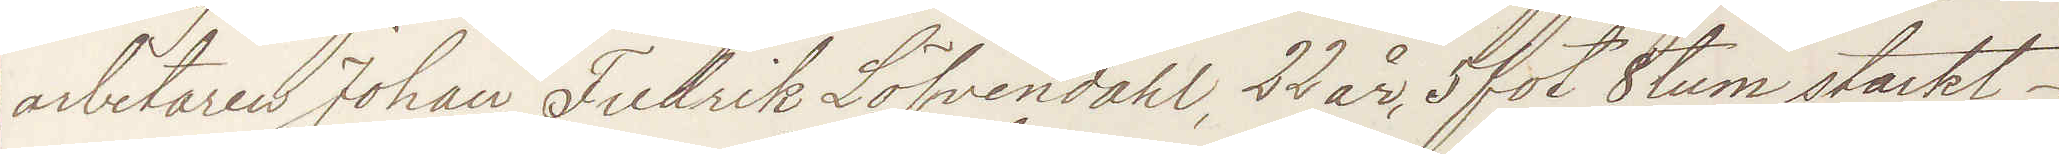arbetaren Johan Fredrik Löfvendahl, 22 år, 5 fot 8 tum starkt
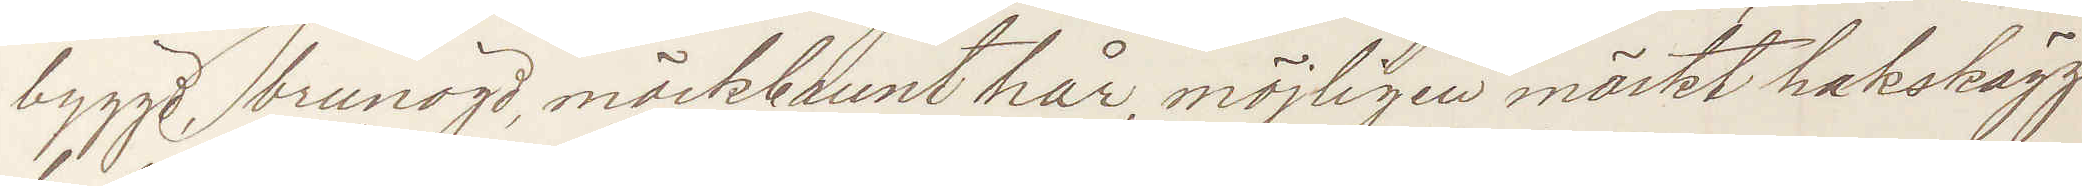byggd, brunögd, mörkbrunt hår, möjligen mörkt hakskägg
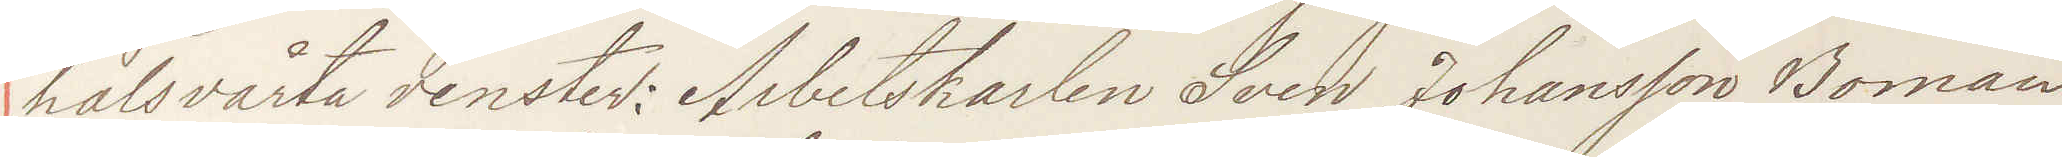halsvårta venster; Arbetskarlen Sven Johansson Boman,
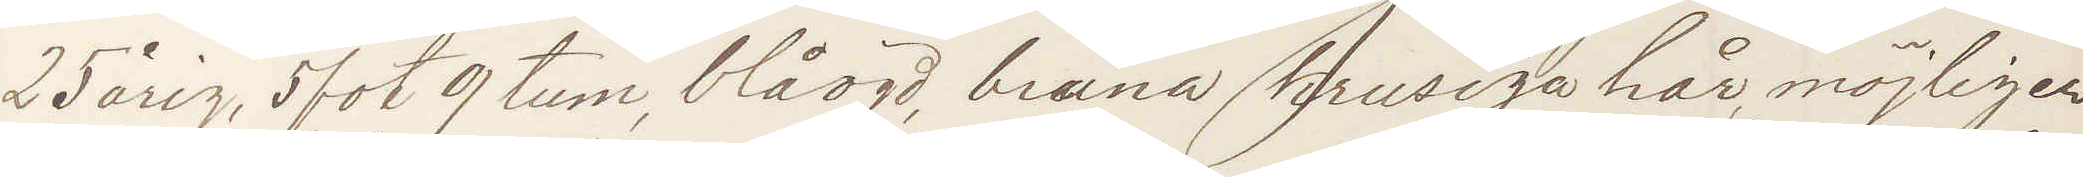25 årig, 5 fot 9 tum, blåögd, bruna krusiga hår, möjligen
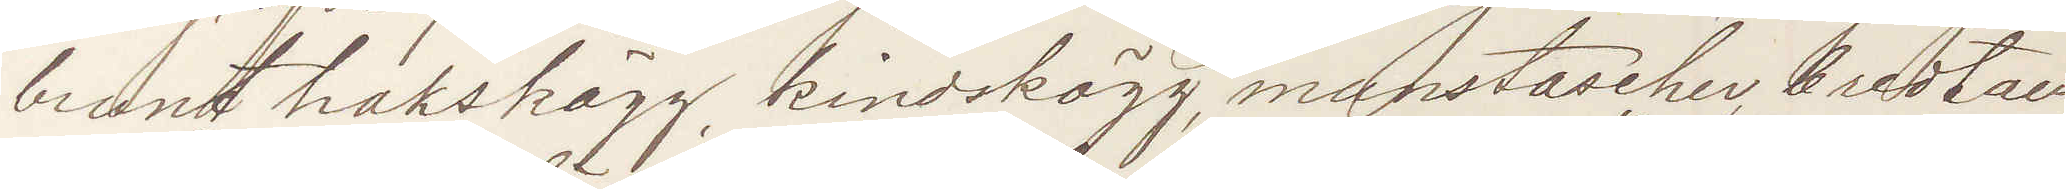brunt hakskägg, kindskägg, munstascher bredt an¬
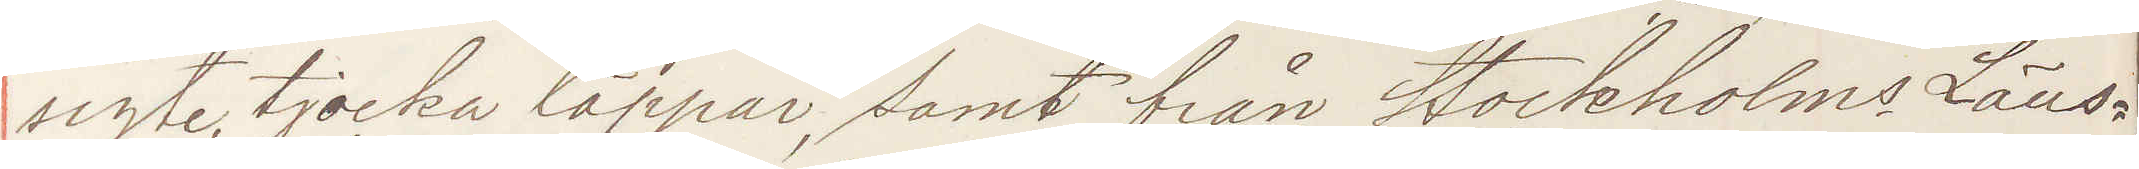sigte, tjocka läppar, samt från Stockholms Läns¬
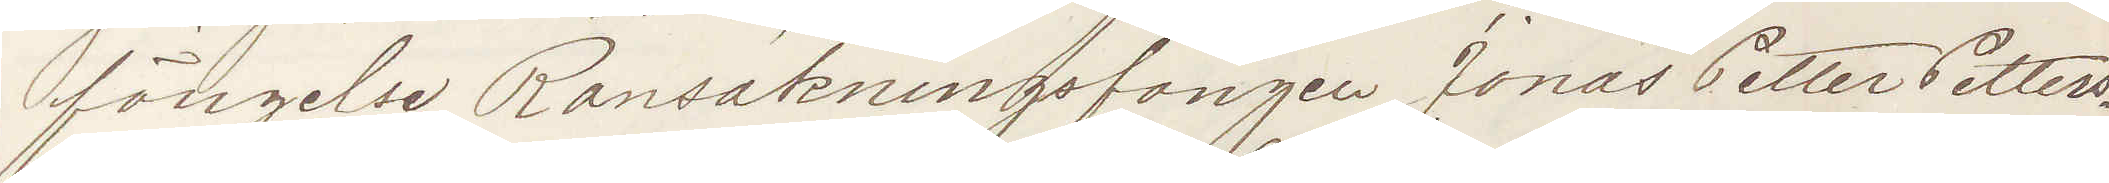fängelse Ransakningsfången Jonas Petter Petters¬
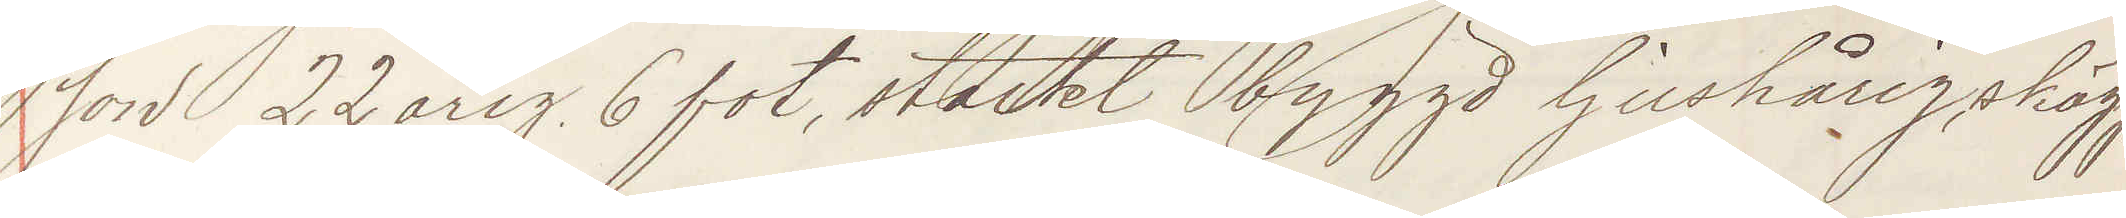son 22årig, 6 fot, starkt byggd ljushårig, skägg¬
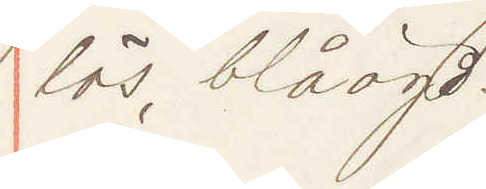lös, blåögd.
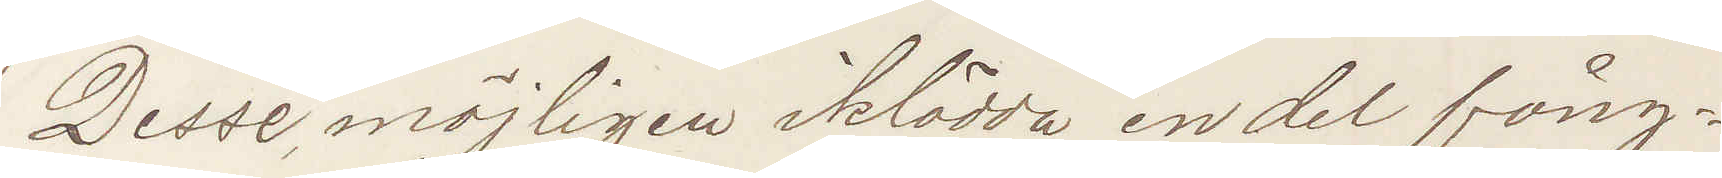Desse; möjligen iklädde en del fång¬
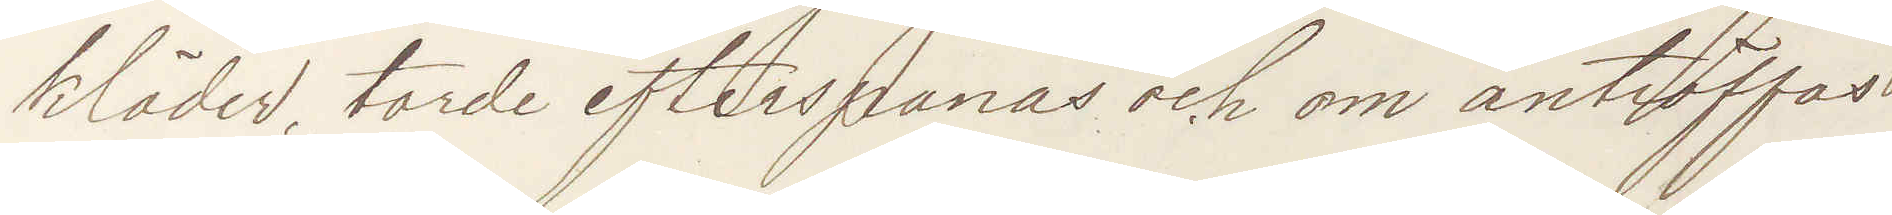kläder, torde efterspanas och om anträffas
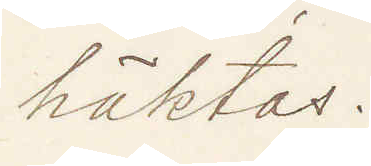häktas.
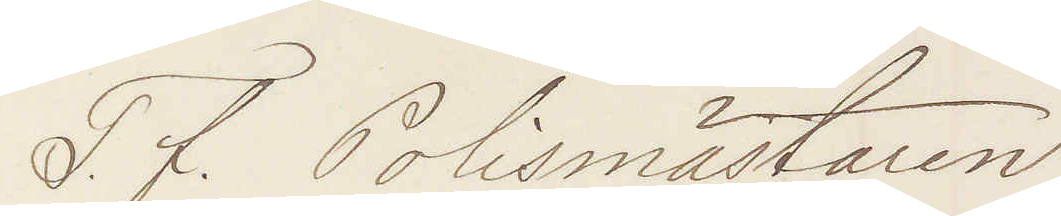T. f. Polismästaren
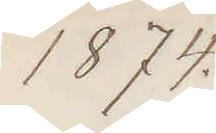1874.
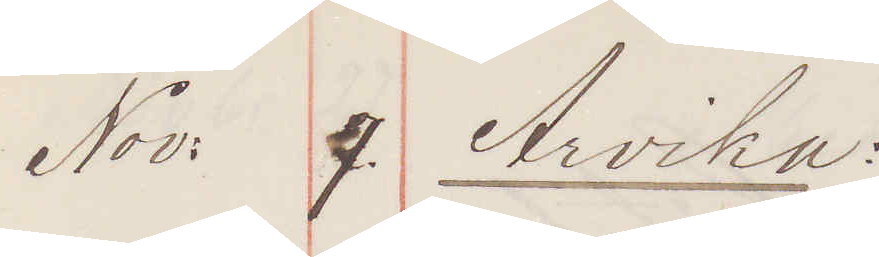Nov: 7. Arvika:
